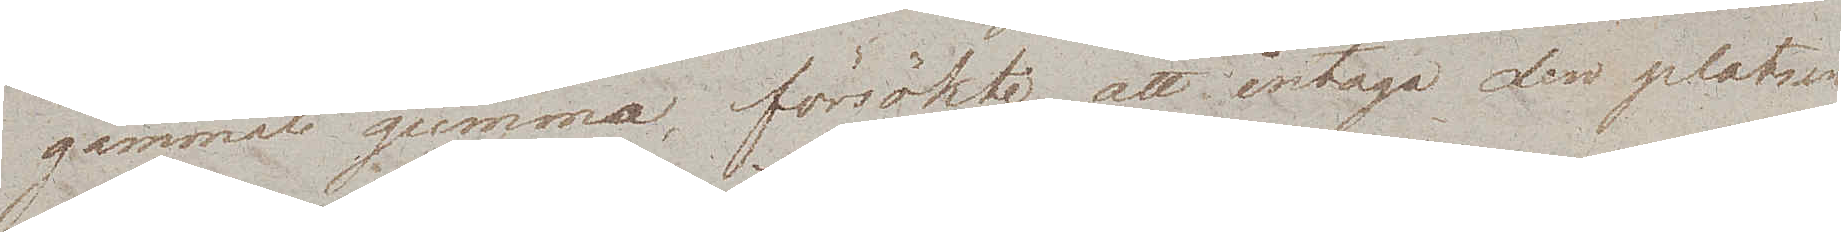gammal gumma, försökte att intaga den platsen
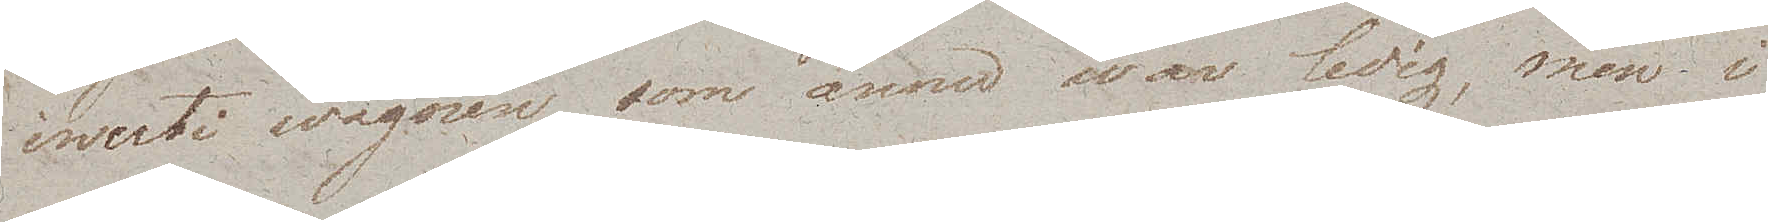inuti wagnen som ännu war ledig, men i
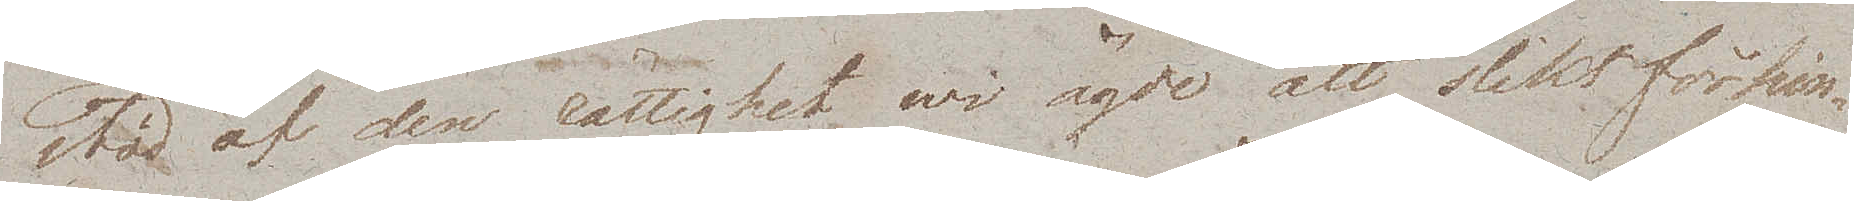stöd af den rättighet wi ägde att slikt förhin¬
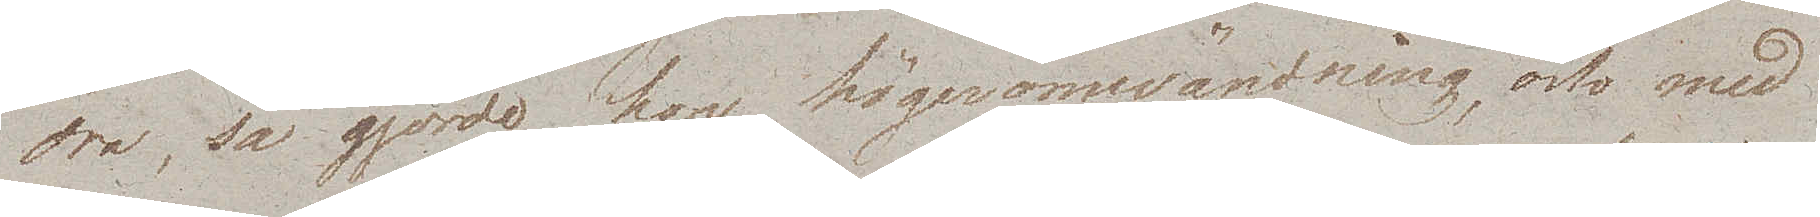dra, så gjorde hon högeromvändning, och med
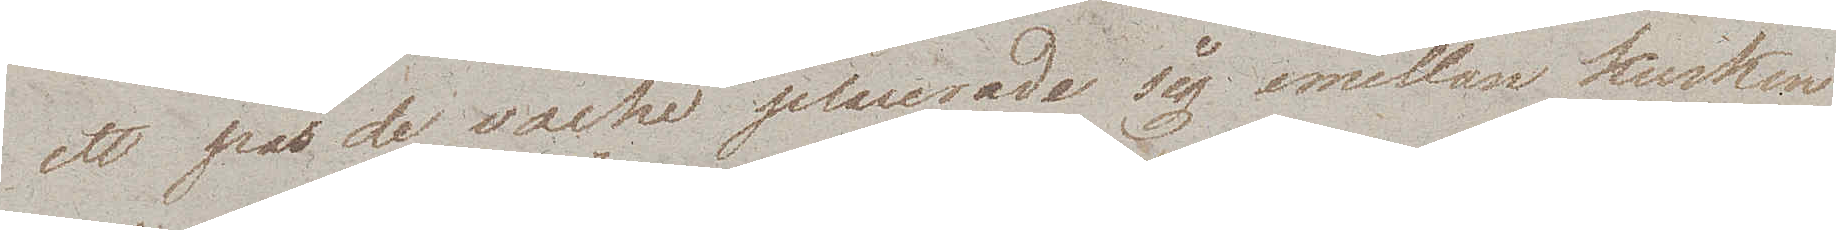ett pas de vache placerade sig emellan kusken
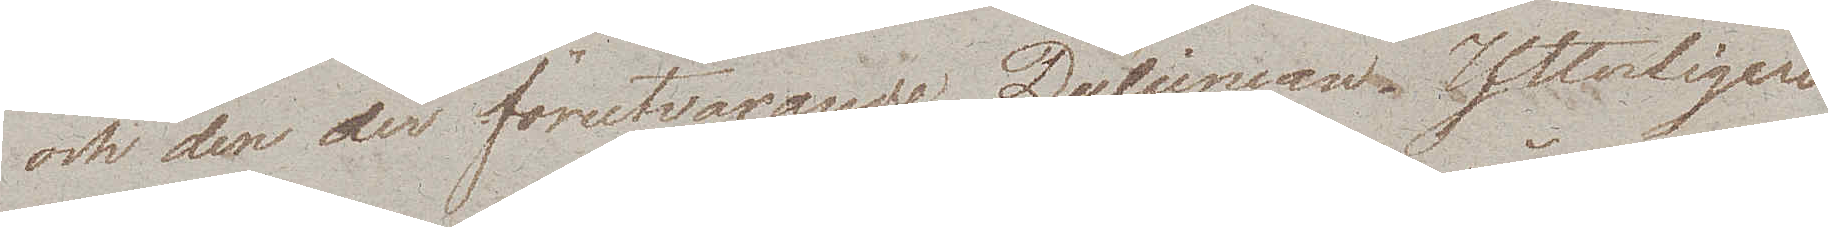och den der förutvarande Dulcinean. Ytterligare
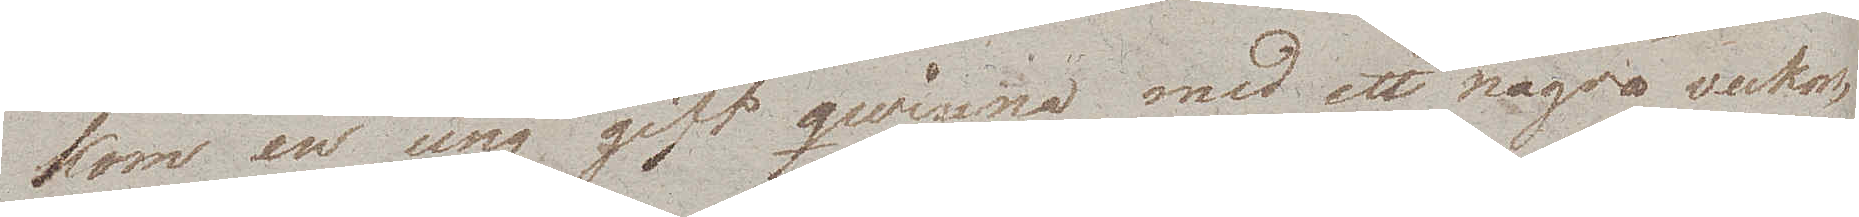kom en ung gift qwinna, med ett några veckor
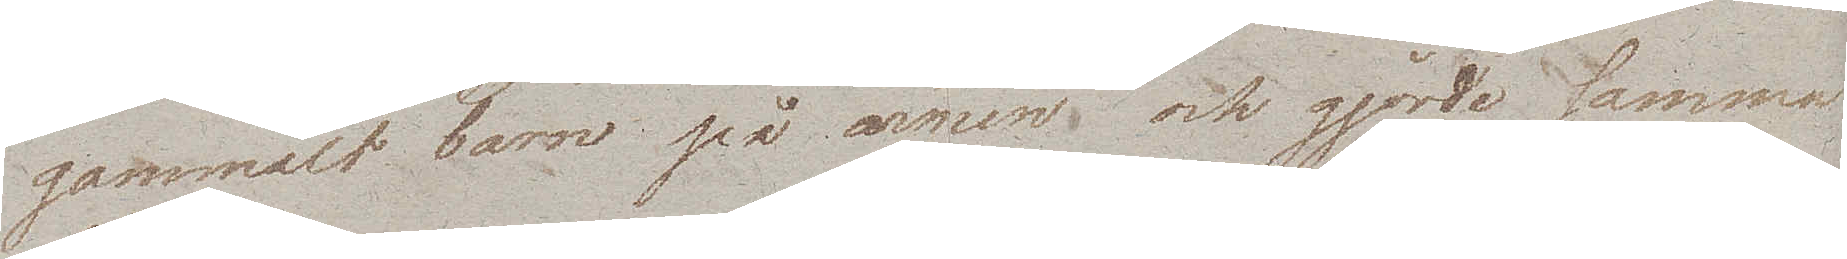gammalt barn på armen, och gjorde samma
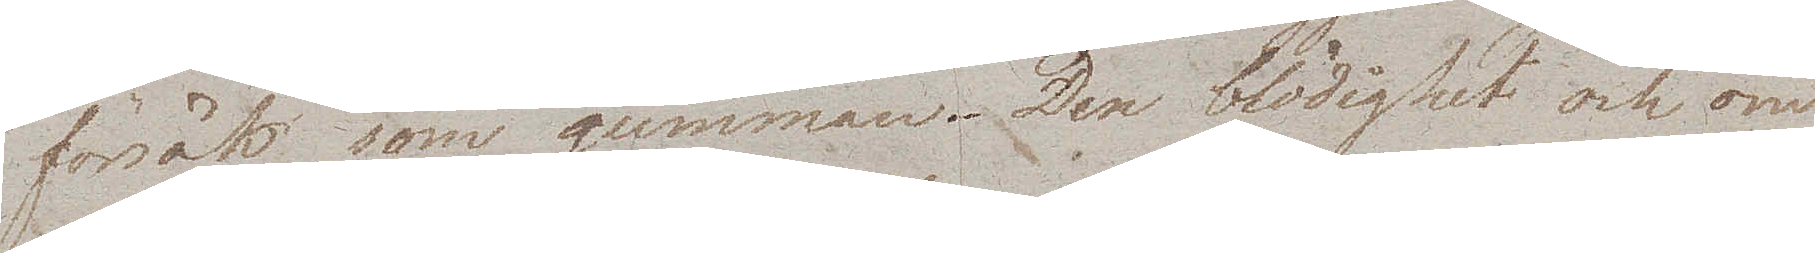försök som gumman. Den blödighet och öm¬
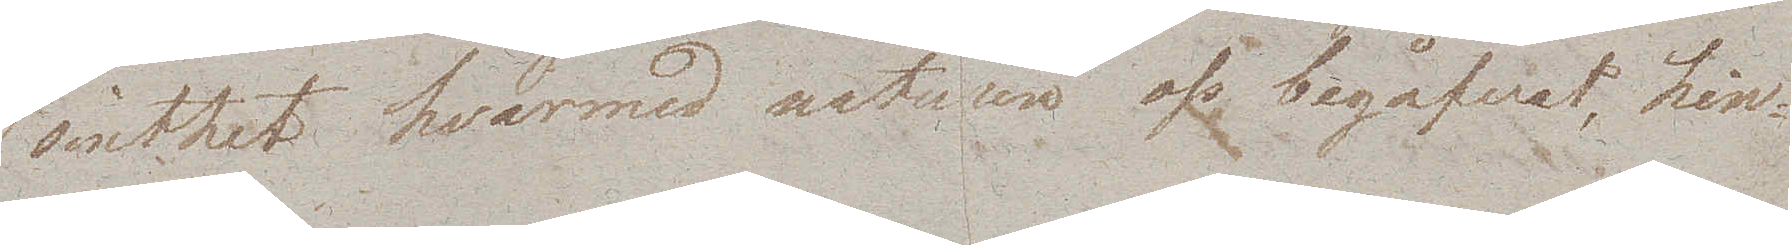sinthet hvarmed naturen oss begåfvat, hin¬
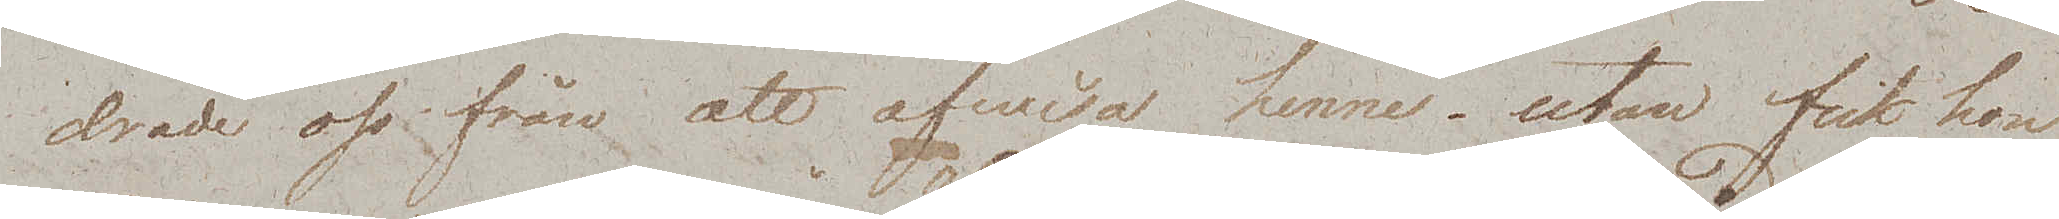drade oss från att afwisa henne, utan fick hon
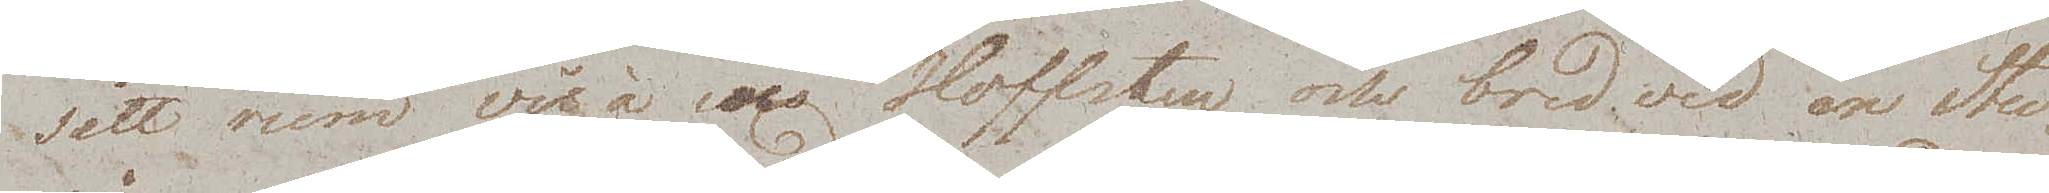sitt rum vis à vi Hoffsten och bredvid en Stu¬
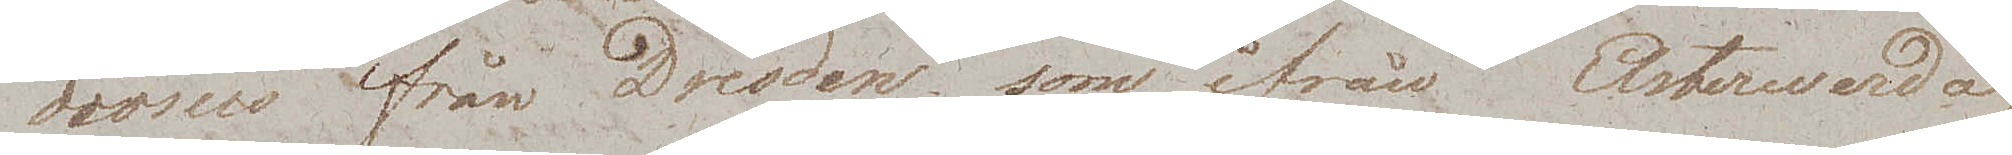diosus från Dresden som ifrån Elsterwerde
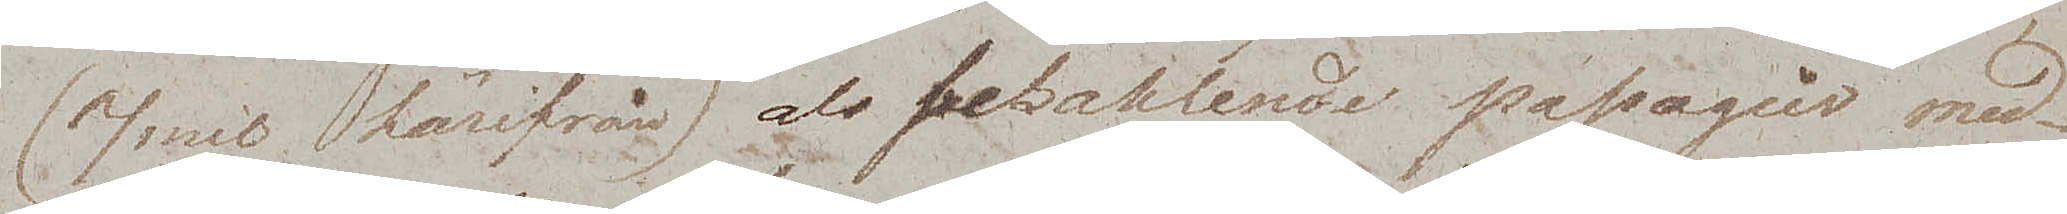(7 mil härifrån) als bezahlende passagier med¬
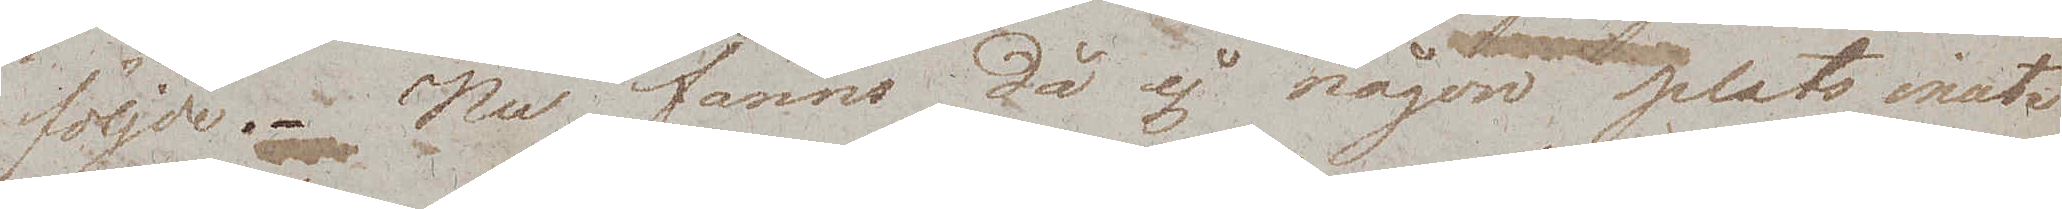följde. Nu fanns då ej någon plats inuti
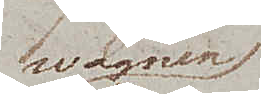wagnen
